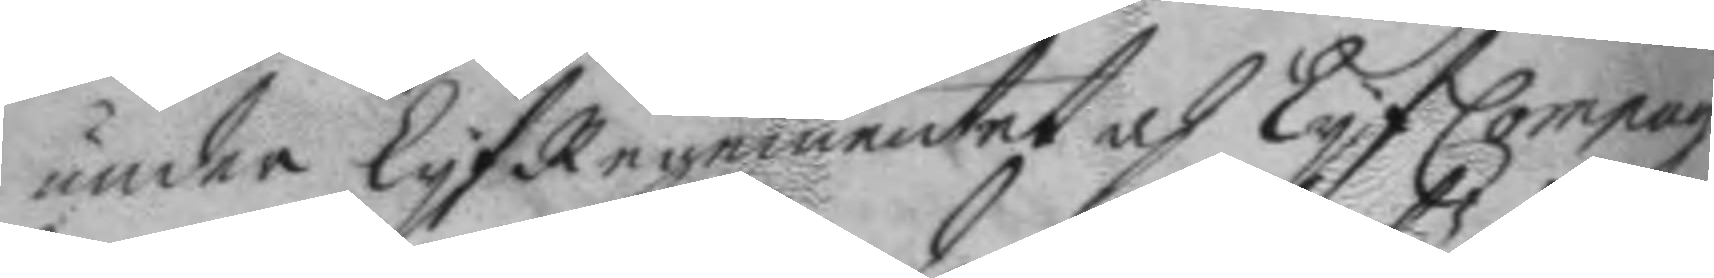under LyfRegementet och Lyf Compag.
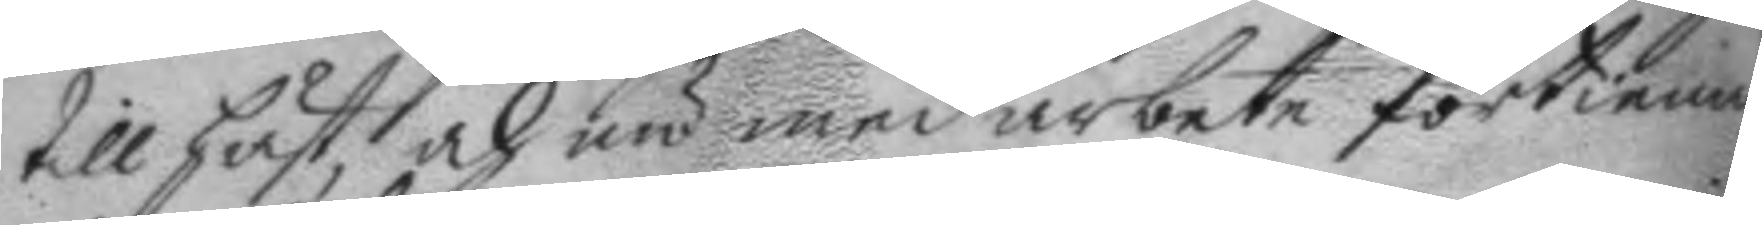till häst, och nu med arbete förtienar
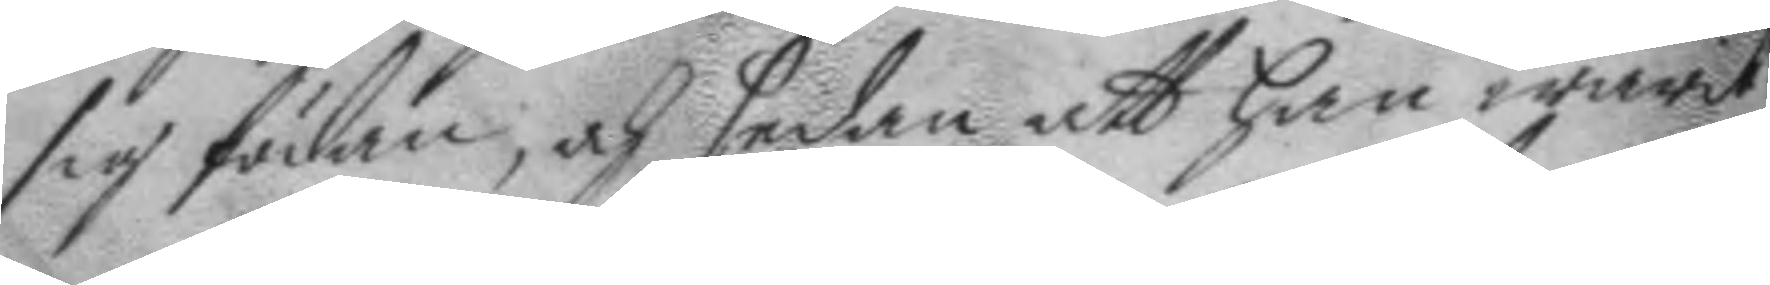sig födan, och sedan att han warit
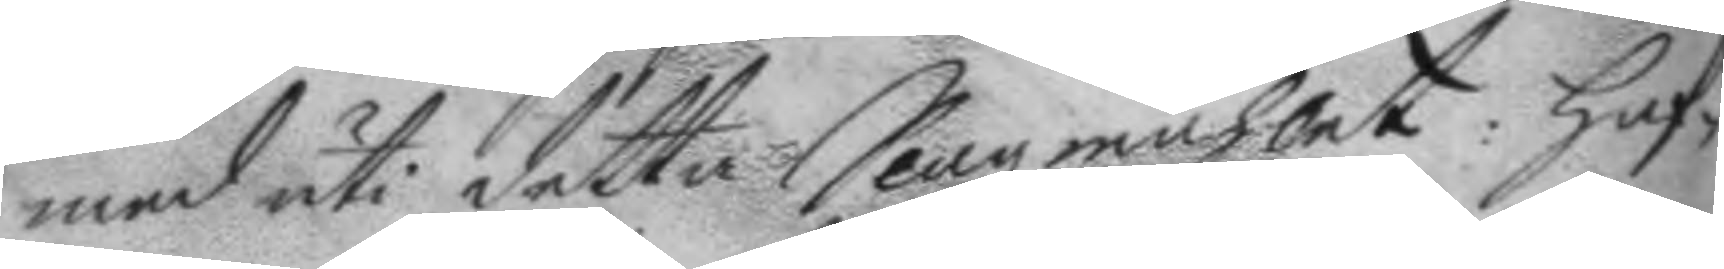med uti detta Slagzmåhlet; haf¬
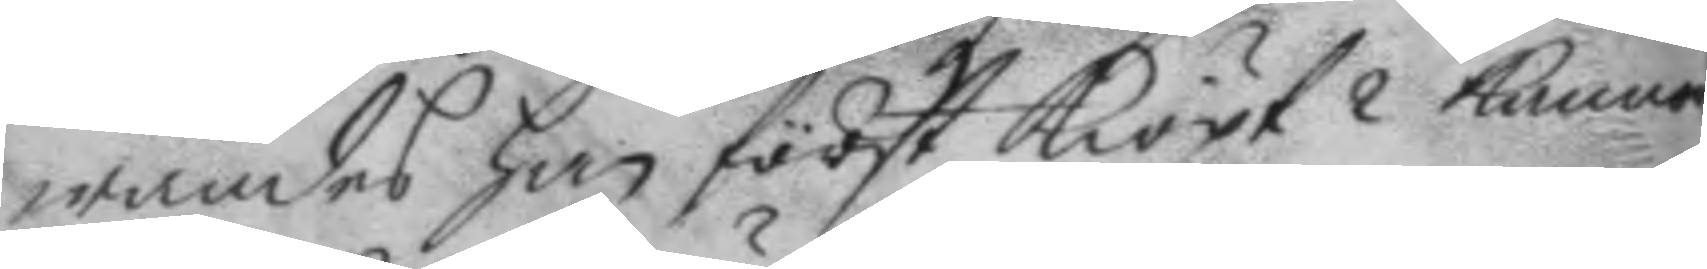wandes han först kiöpt 2 kannor
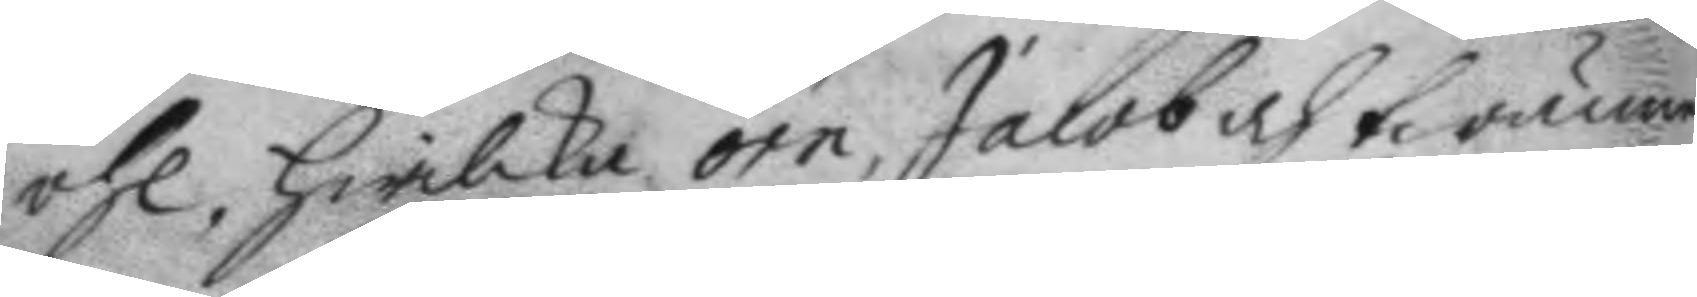öhl, hwilka örn, jacob och twänne
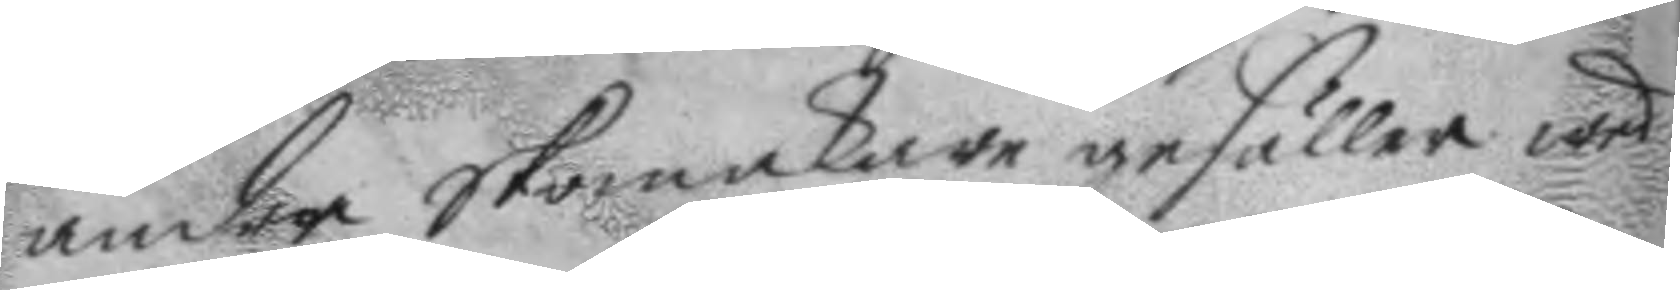andra Skomakare gesäller wed
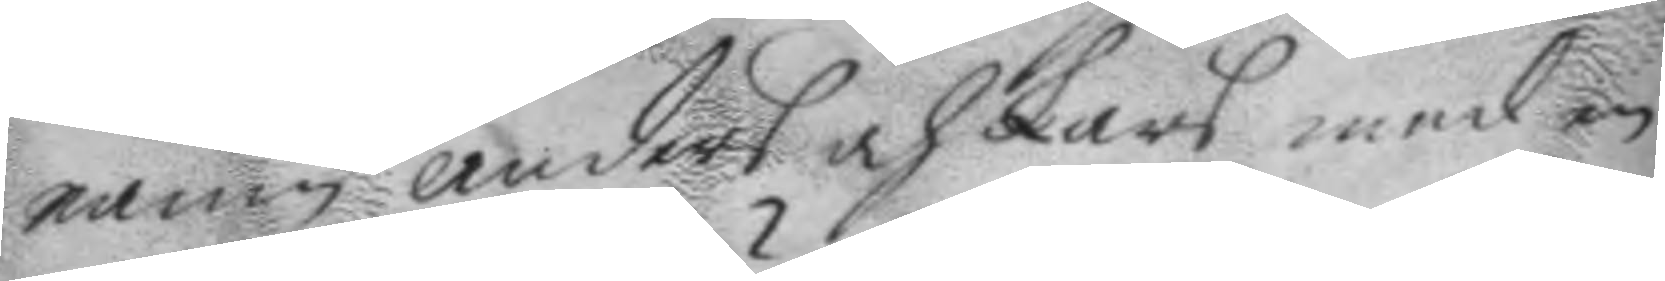namn anders och Lars med en
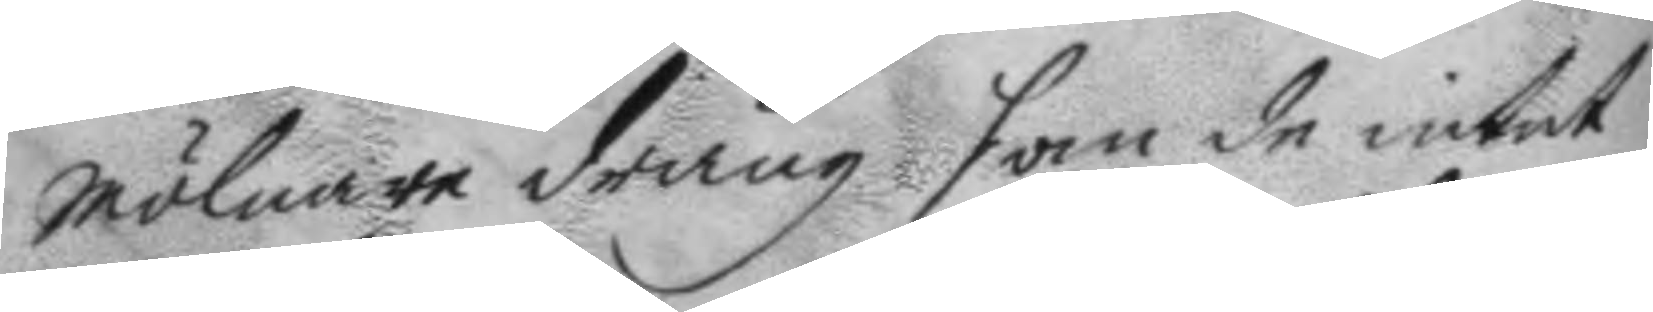mölnare dräng som de intet
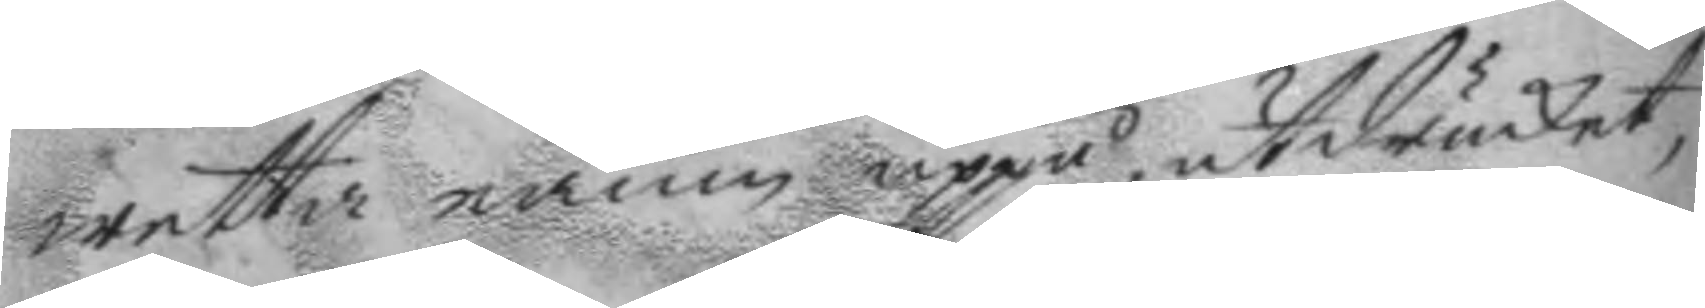wetta namn uppå, utsrucket,
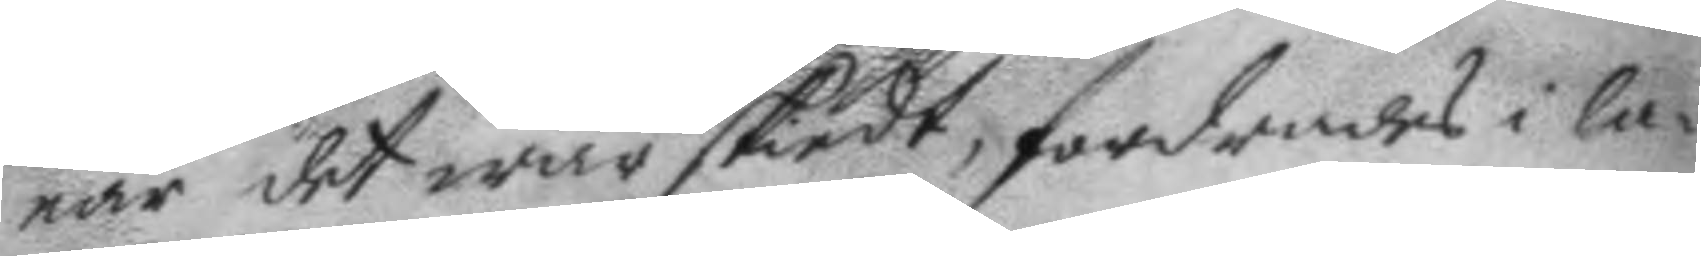när det war skiedt, fordrades i la¬
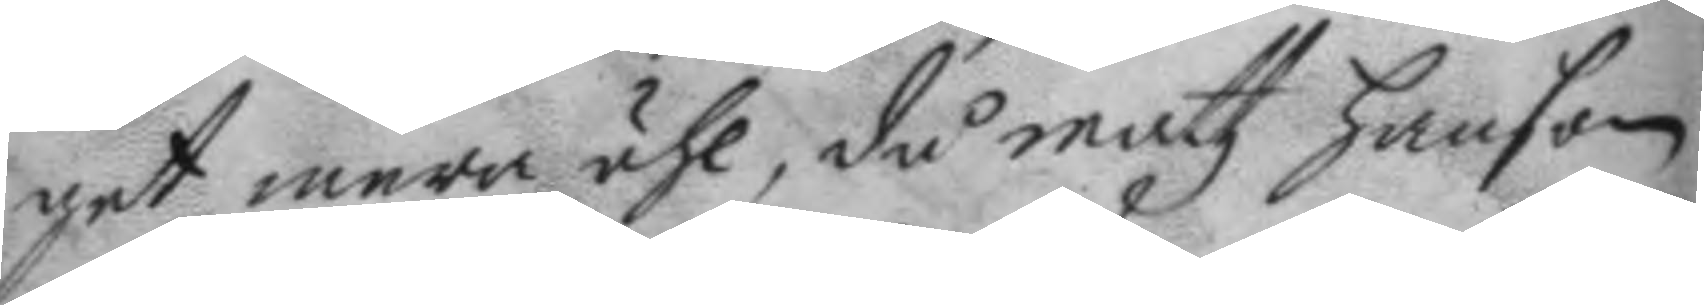get mera öhl, då mattz hanson
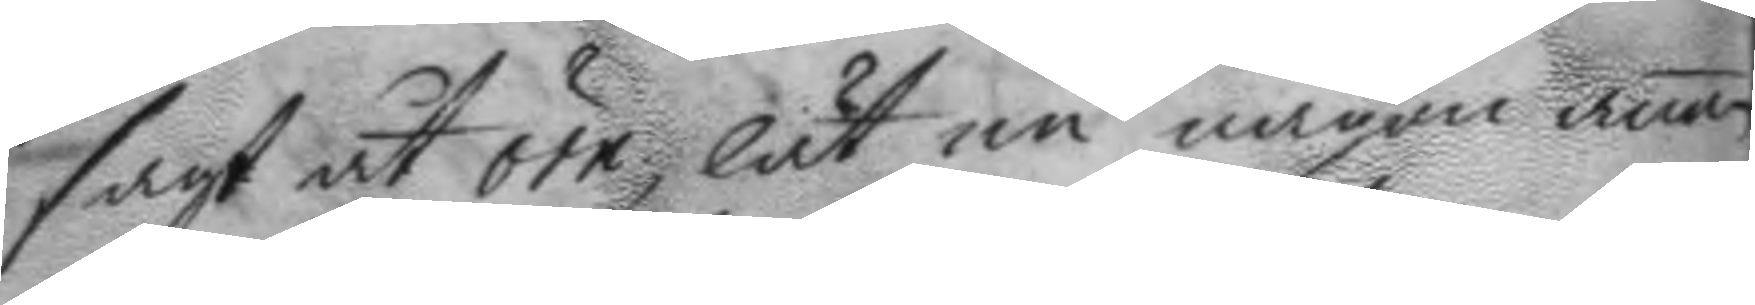sagt åt örn, lät nu någon anan
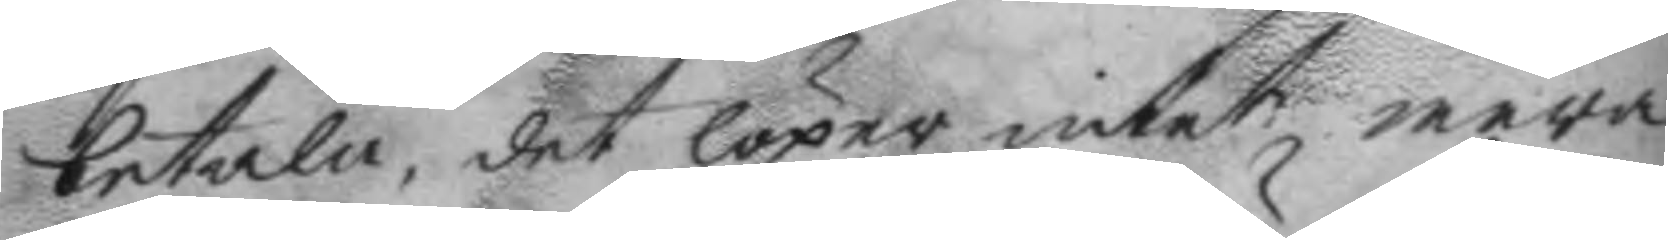betala, det löper intet mera
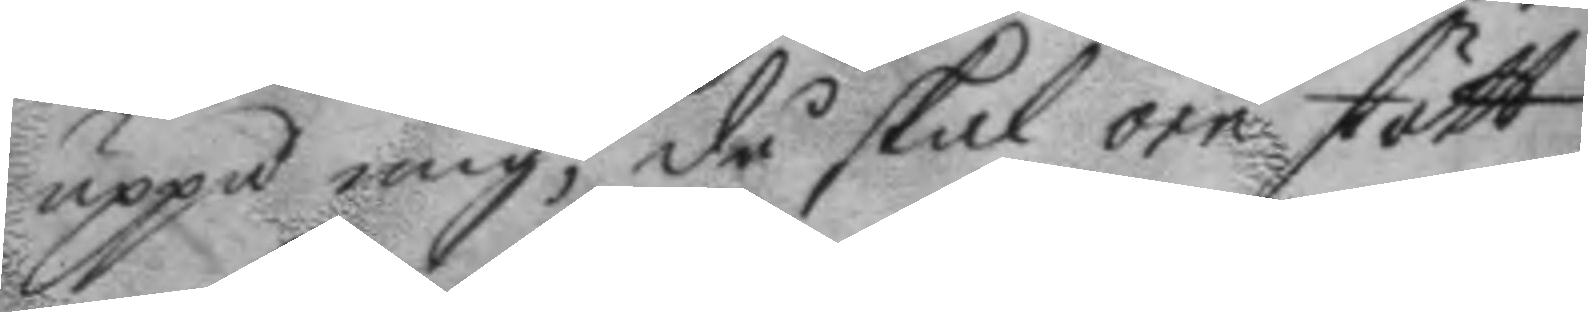uppå mig, då skal örn stött
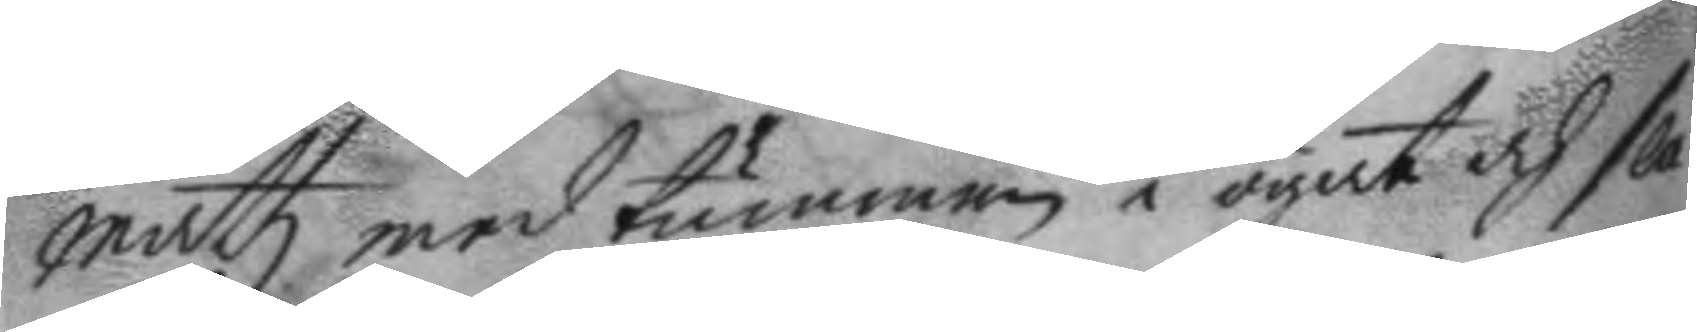mattz med tummen i ögat och sla¬
